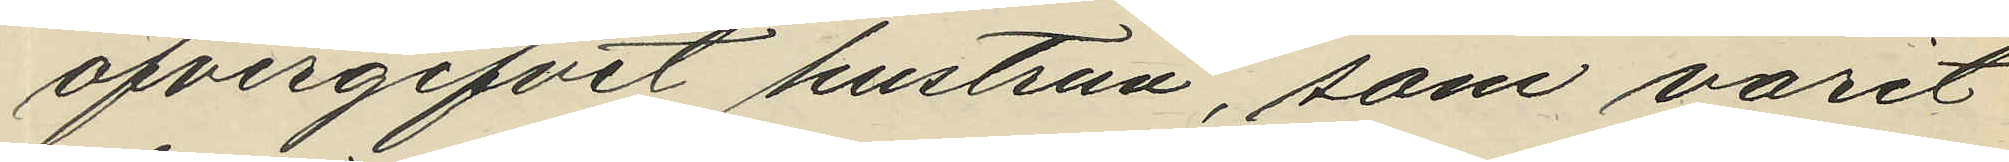öfvergifvit hustrun, som varit
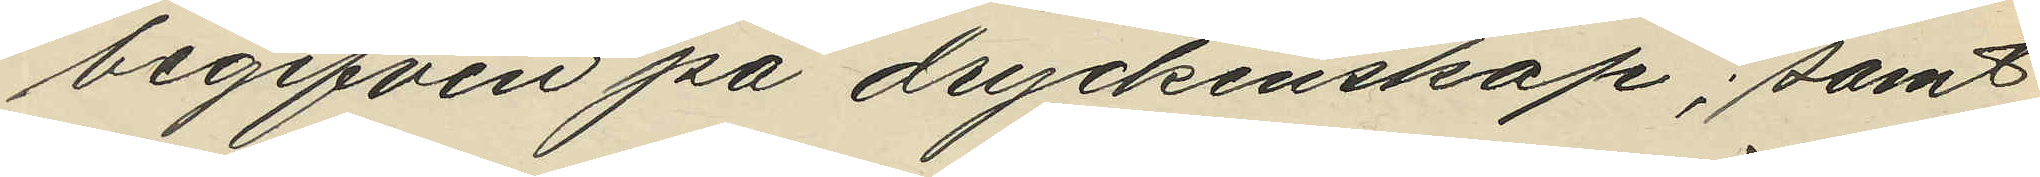begifven på dryckenskap; samt
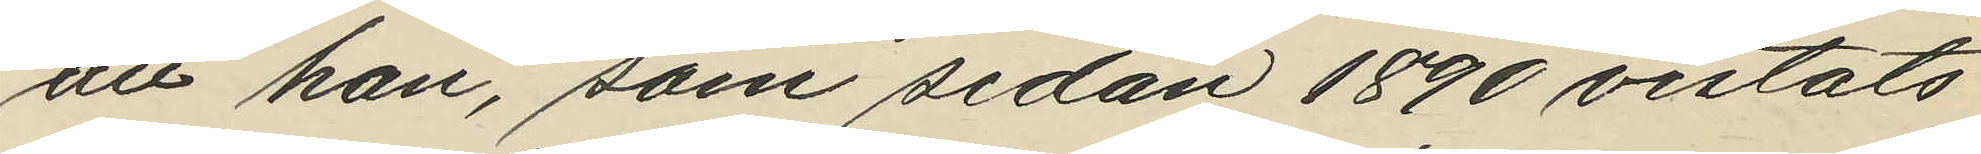att han, som sedan 1890 vistats
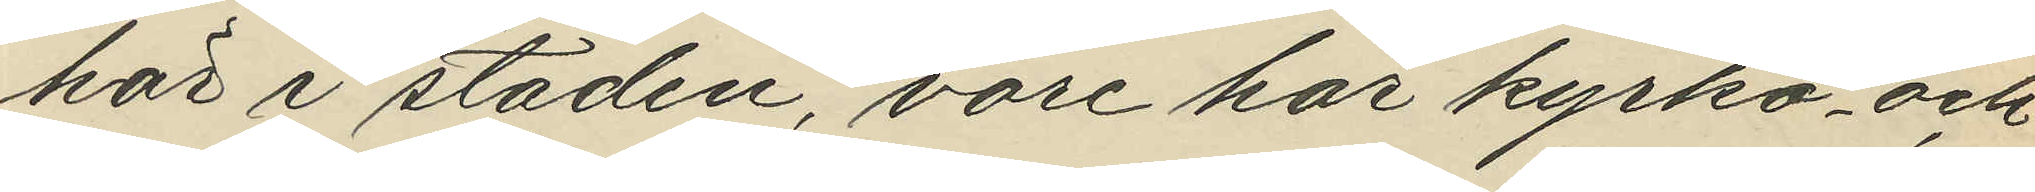här i staden, vore här kyrko- och
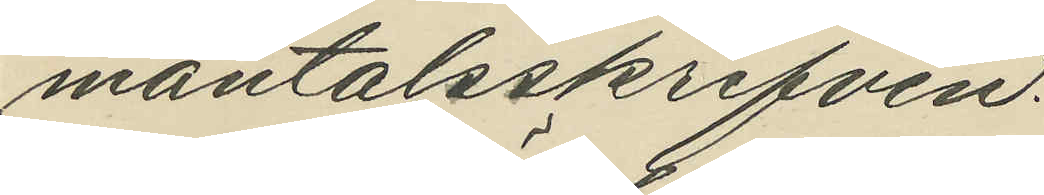mantalsskrifven.
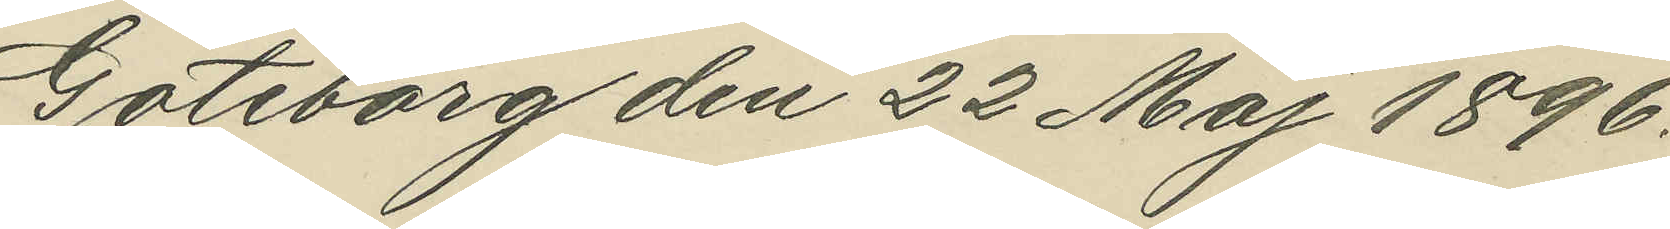Göteborg den 22 Maj 1896.
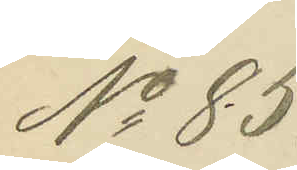No 85.
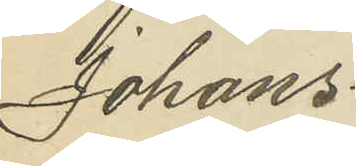Johans¬
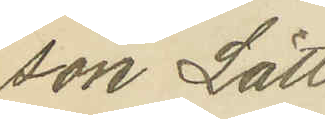son Lätt.
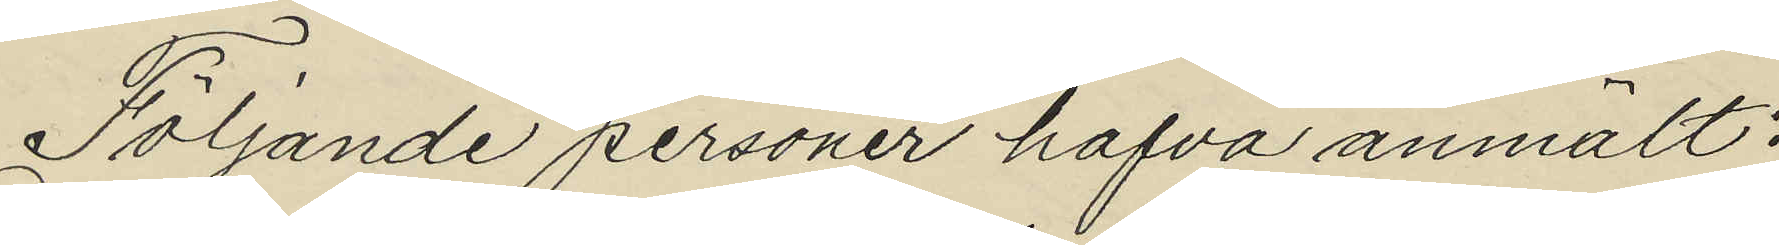Följande personer hafva anmält:
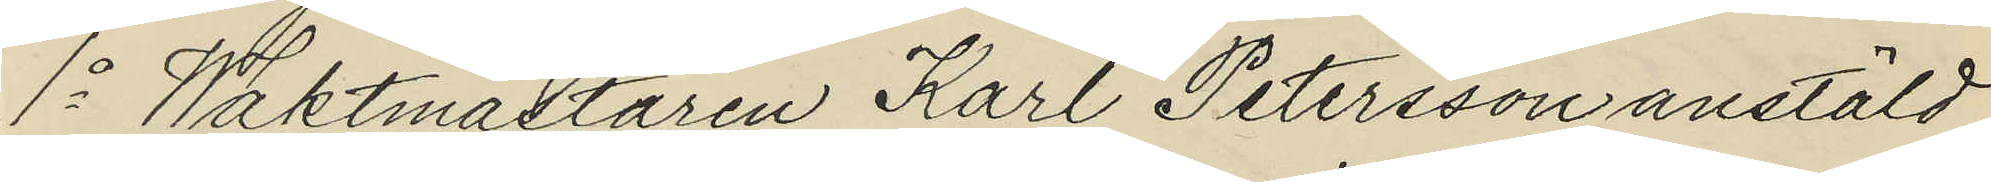1o Waktmästaren Karl Petersson anstäld
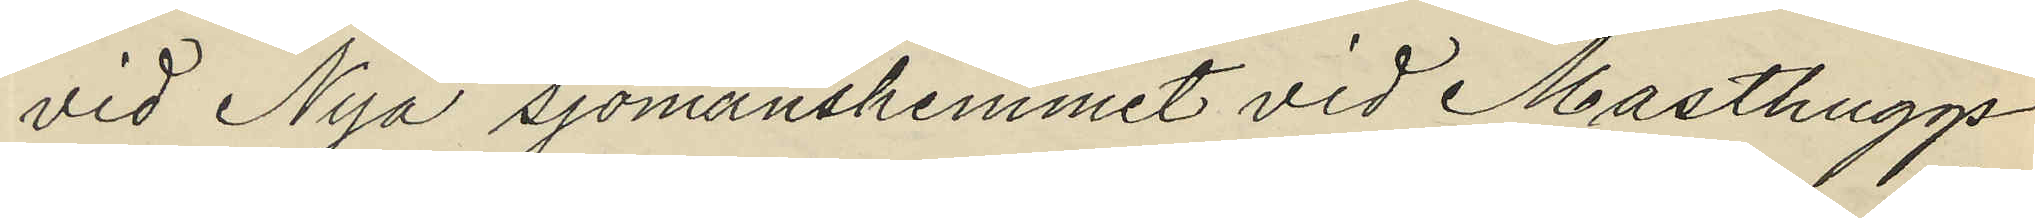vid Nya sjömanshemmet vid Masthuggs¬
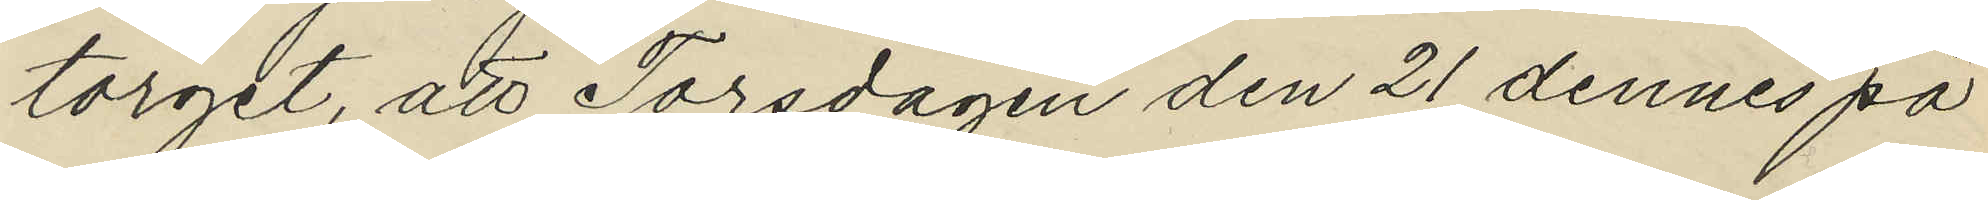torget, att Torsdagen den 21 dennes på
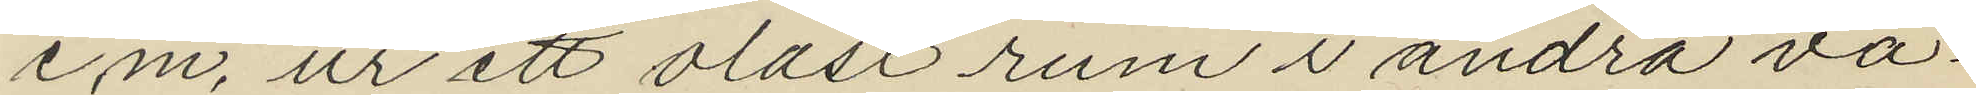e.m. ur ett olåst rum i andra vå¬
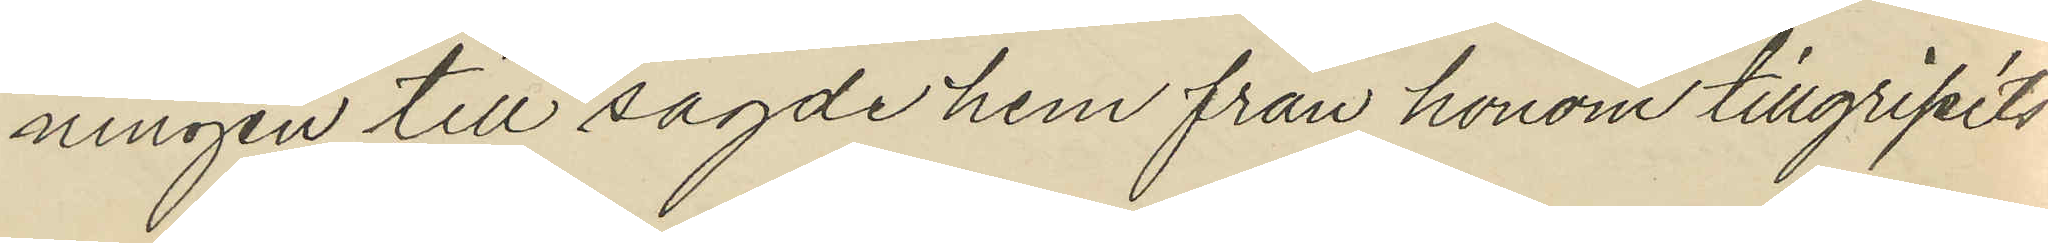ningen till sagde hem från honom tillgripits:
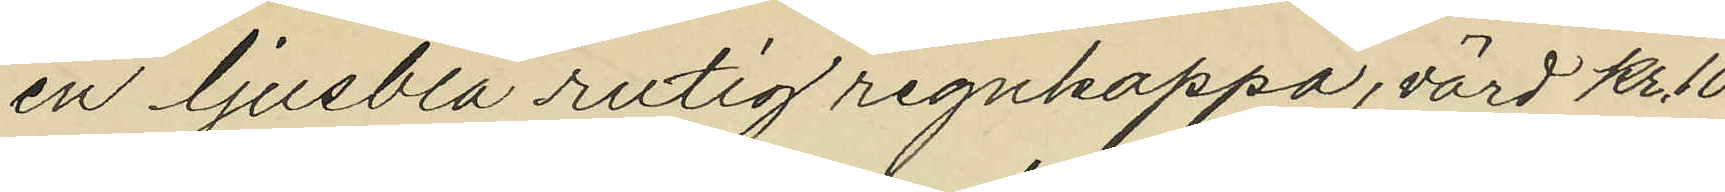en ljusblå rutig regnkappa, värd kr. 10
